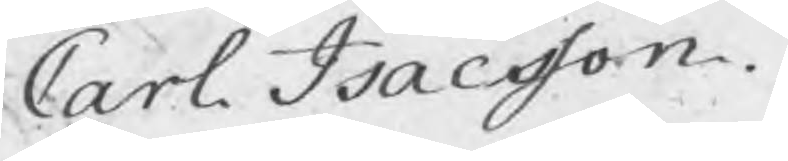Carl Isacsson.
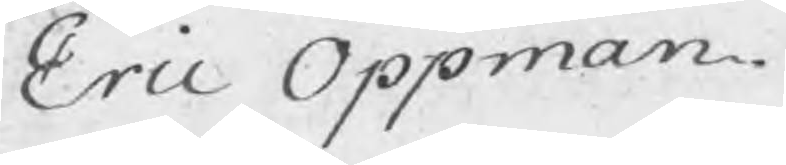Eric Oppman.
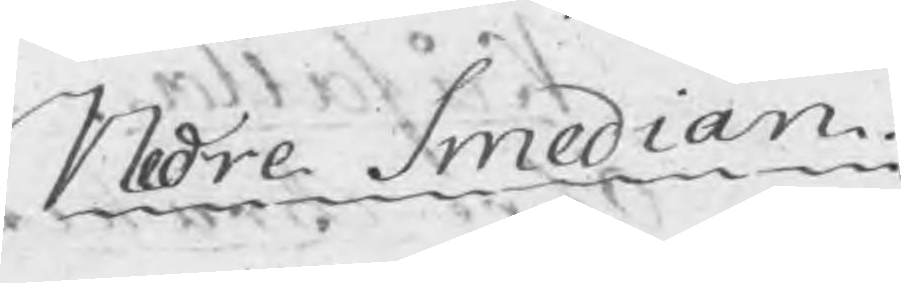Nedre Smedian
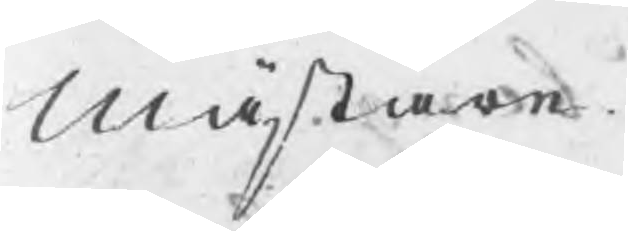Mästare
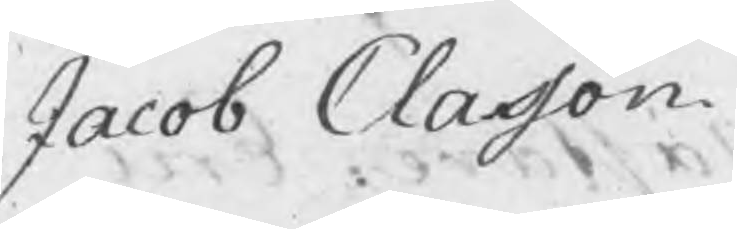Jacob Classon.
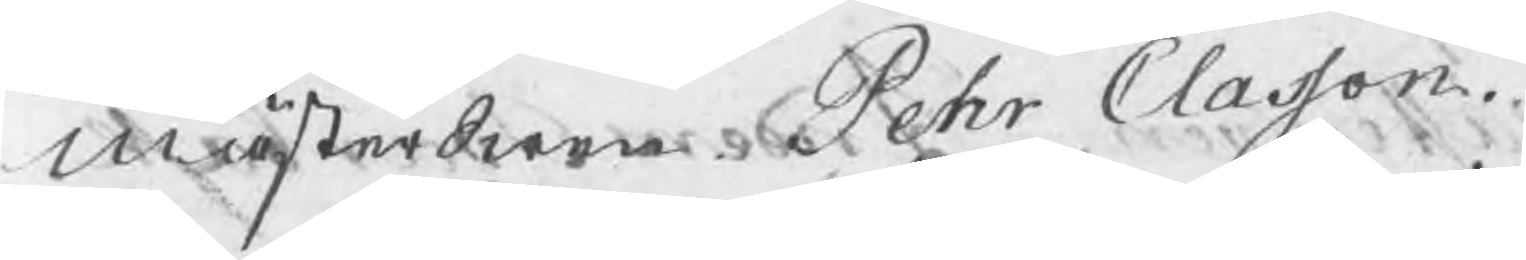MästerSwen Pehr Classon
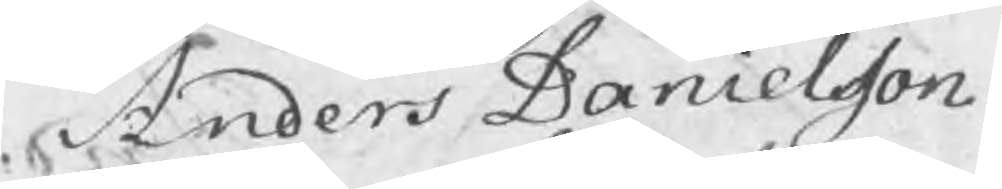Anders Danielsson.
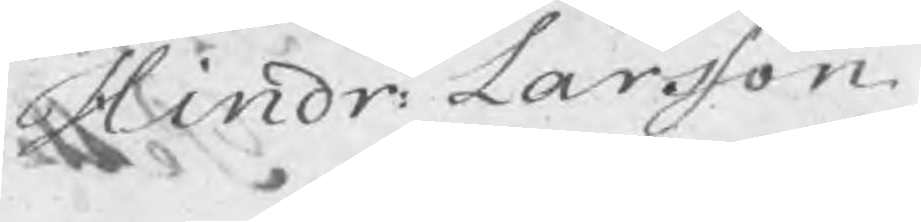Hindr: Larsson
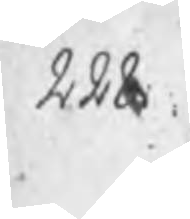228.
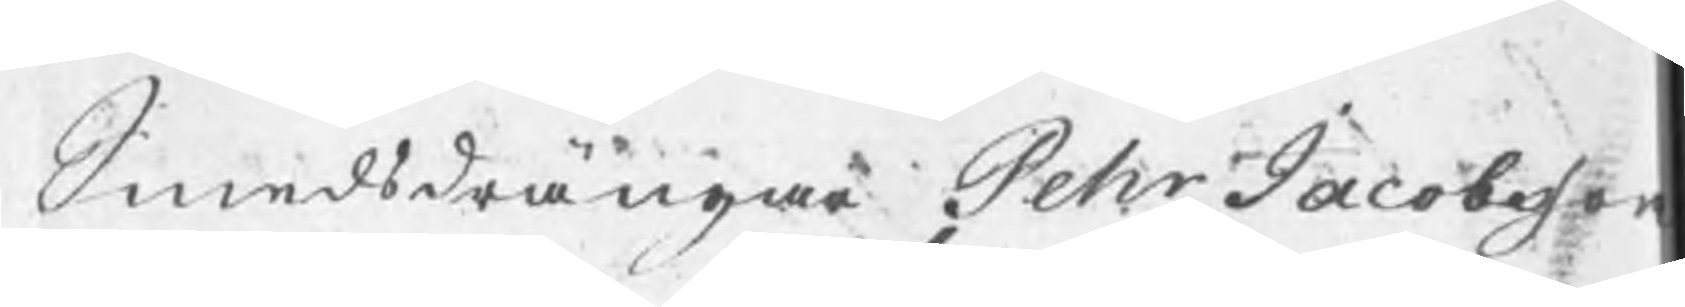Smedsdrängar Pehr Jacobsson
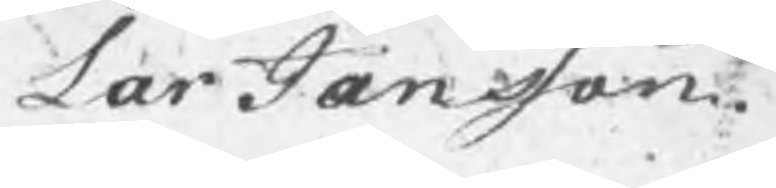Lar Jansson.
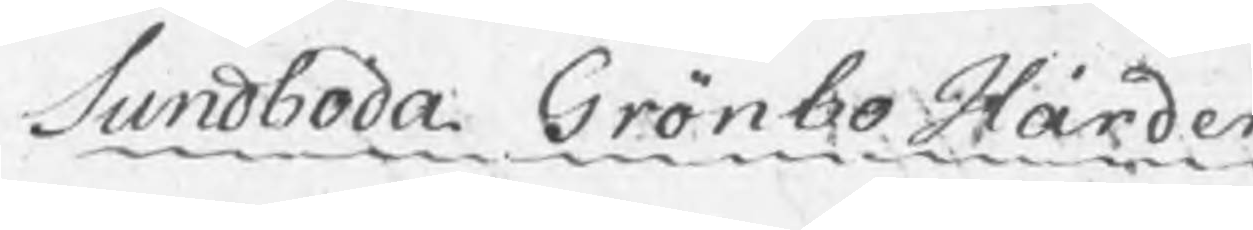Sundboda Grönbo Härden.
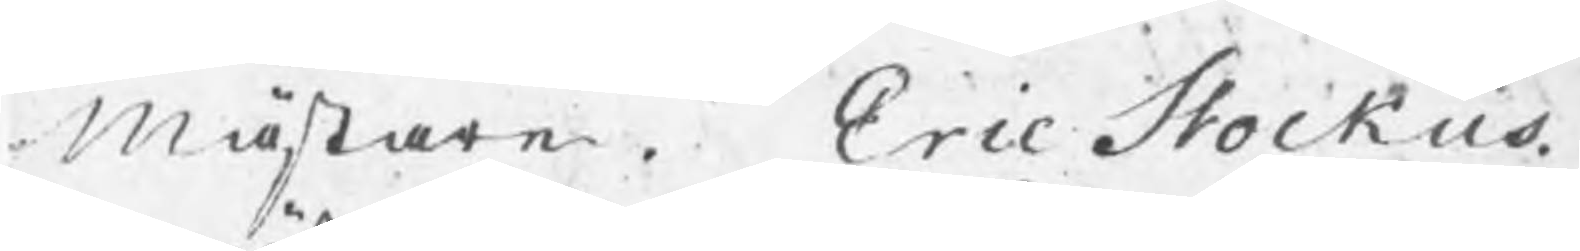Mästare . Eric Stockus.
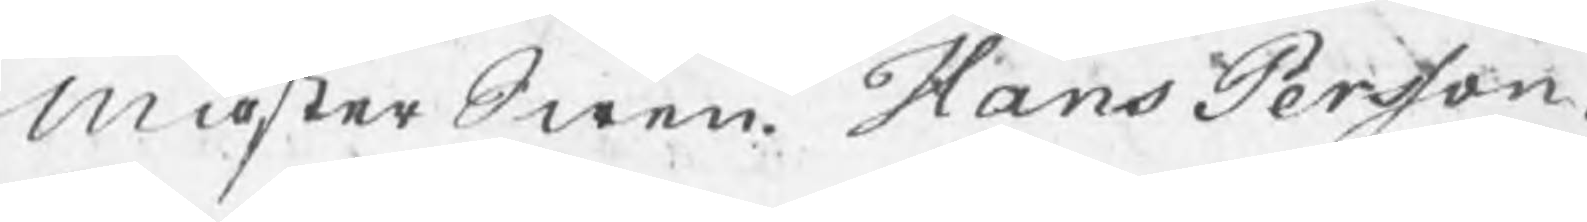MästerSwen Hans Persson.
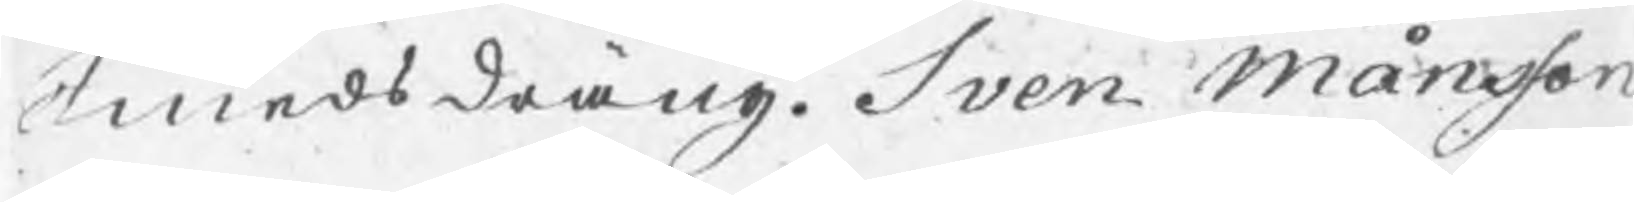Smedsdräng. Sven Månsson
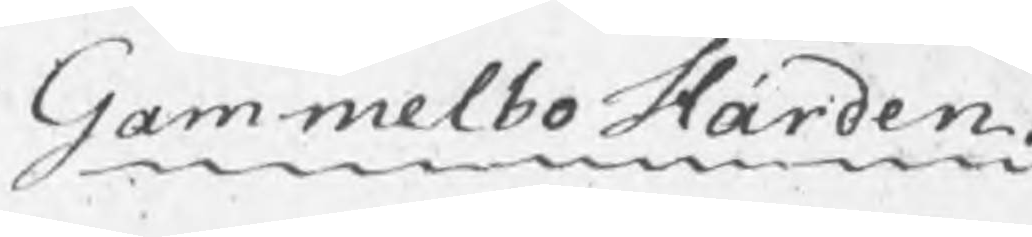Gammelbo Härden.
